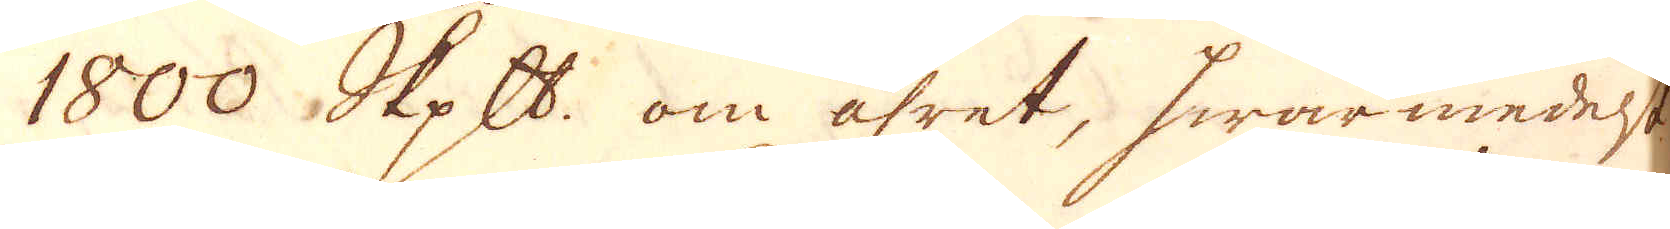1800 skeppund om åhret, hwarmedelst
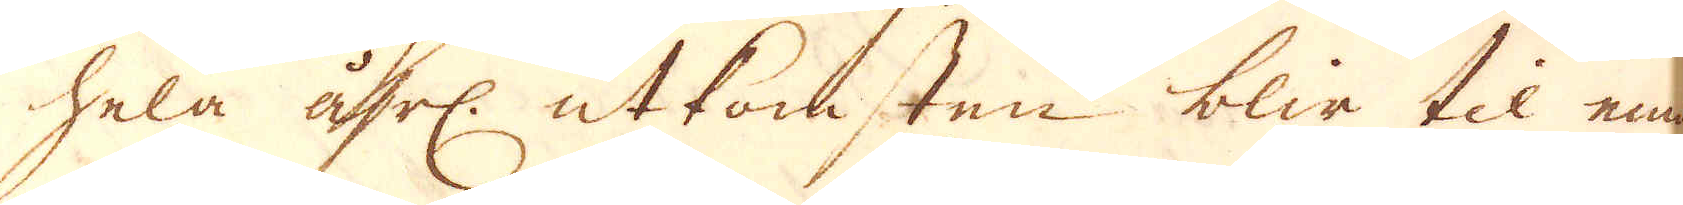hela åhrl: utkomsten blir til emot
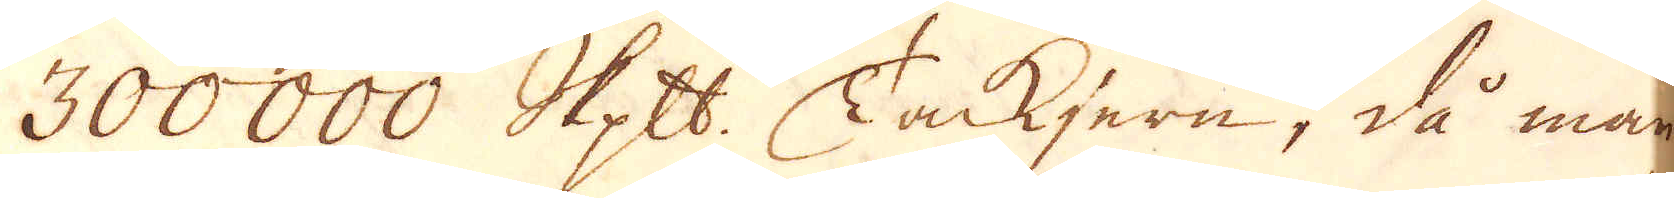300000 skeppund. Tackjern, då man
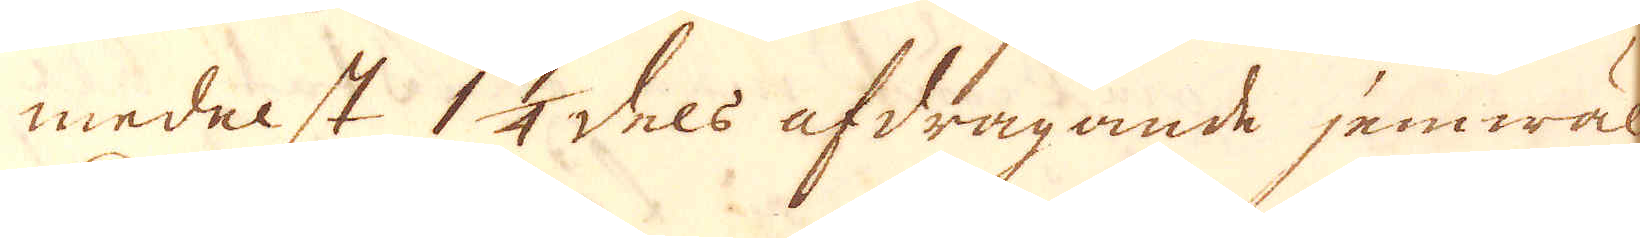medelst 1 1/4 dels afdragande jemwäl
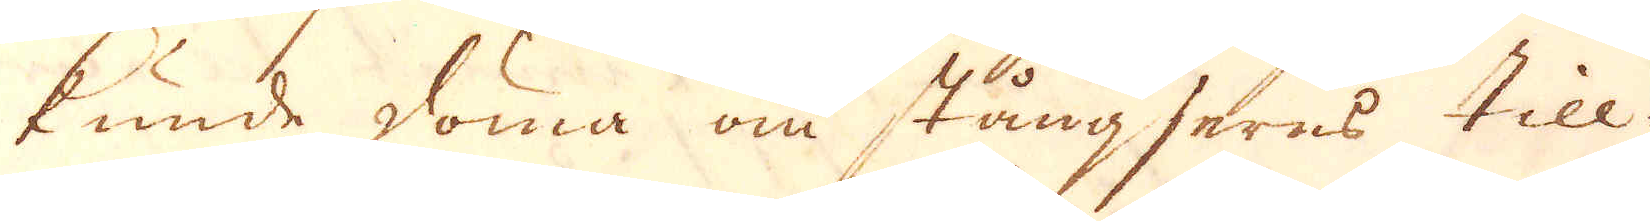kunde döma om stångjerns till-
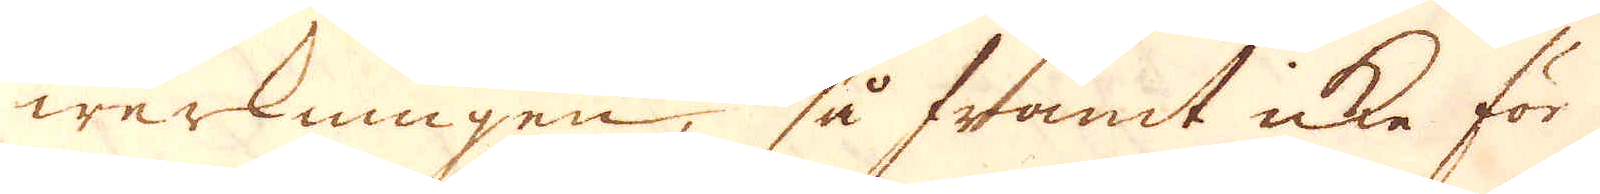werkningen, så framt icke för
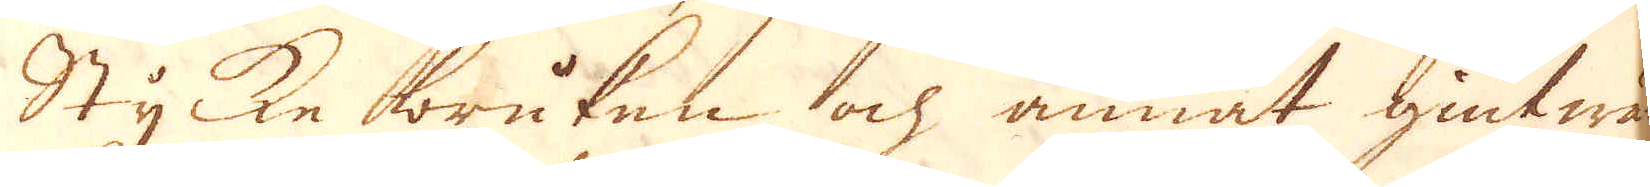Stycke bruken och annat giutwär-
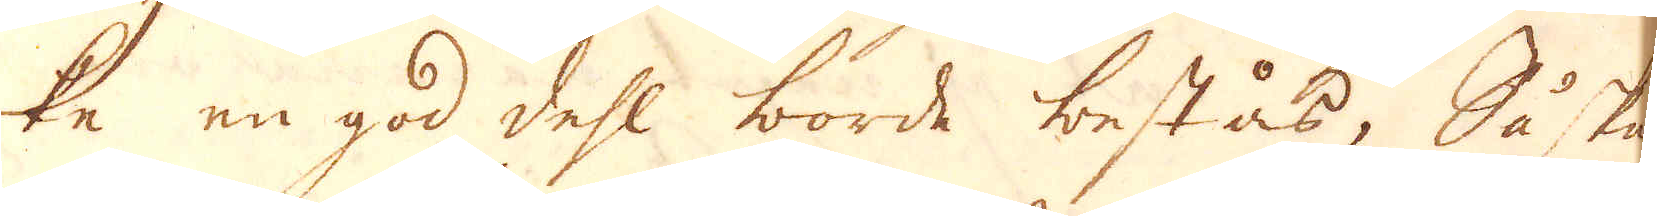ke en god dehl borde bestås, Så skul-
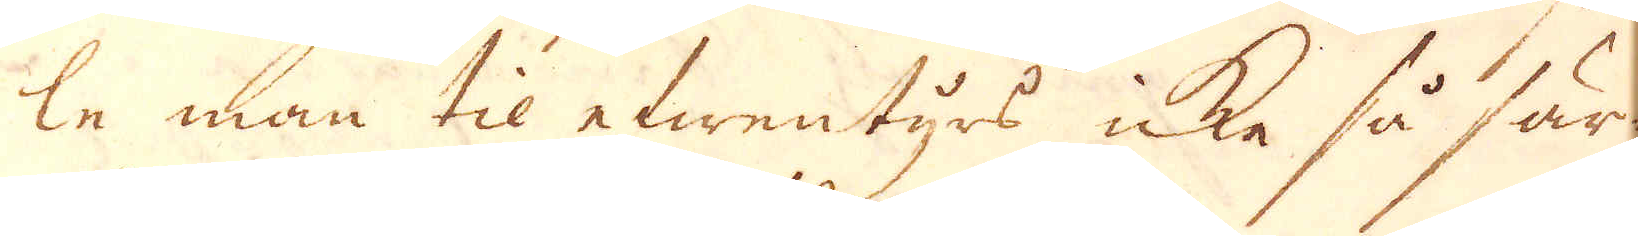le man til efwentyrs icke så sär-
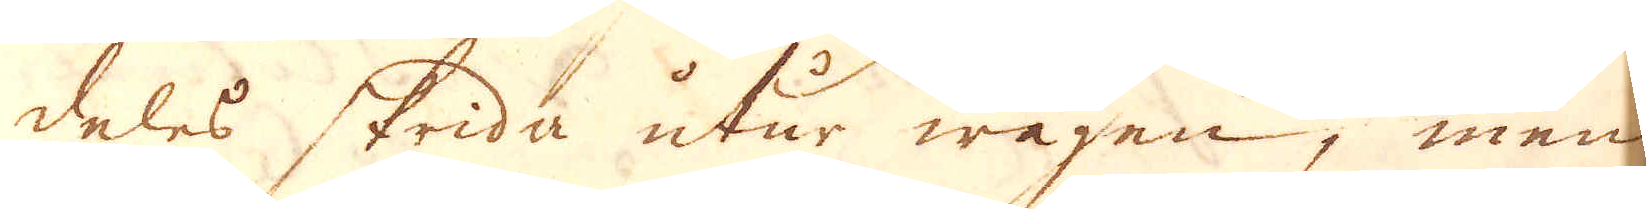deles skrida utur wägen, men
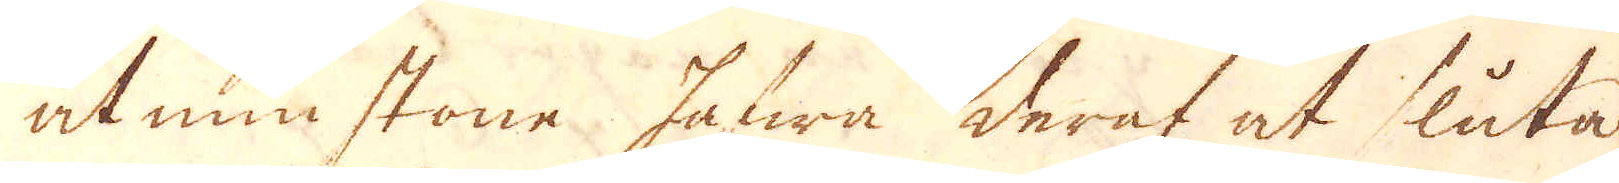åtminstone hafwa deraf at sluta
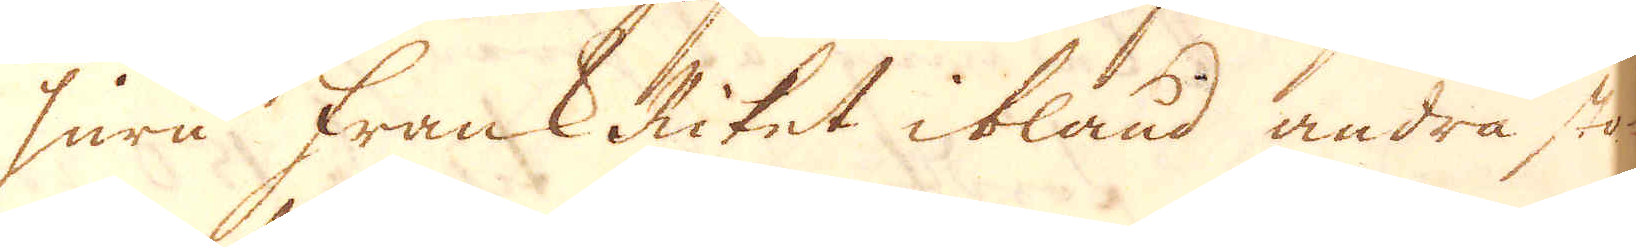huru Frank Riket ibland andra sto-
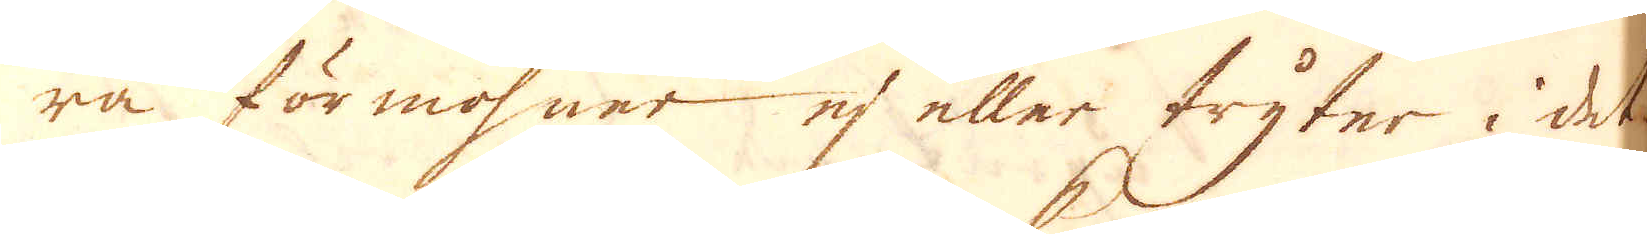ra förmohner ej eller tryter i det-
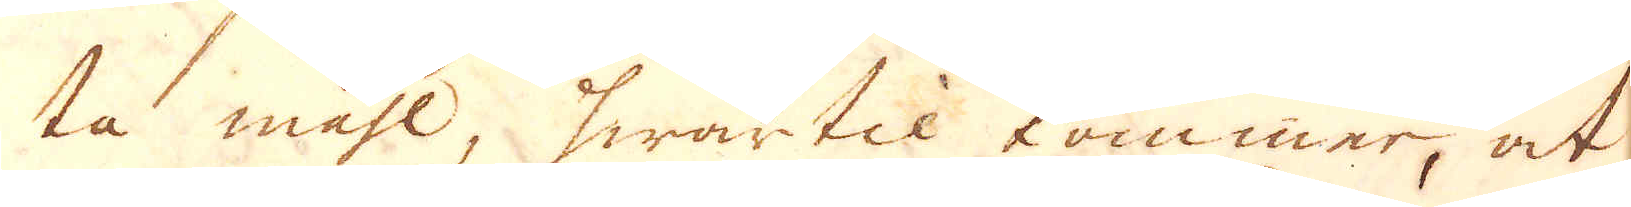ta måhl, hwartil kommer, at
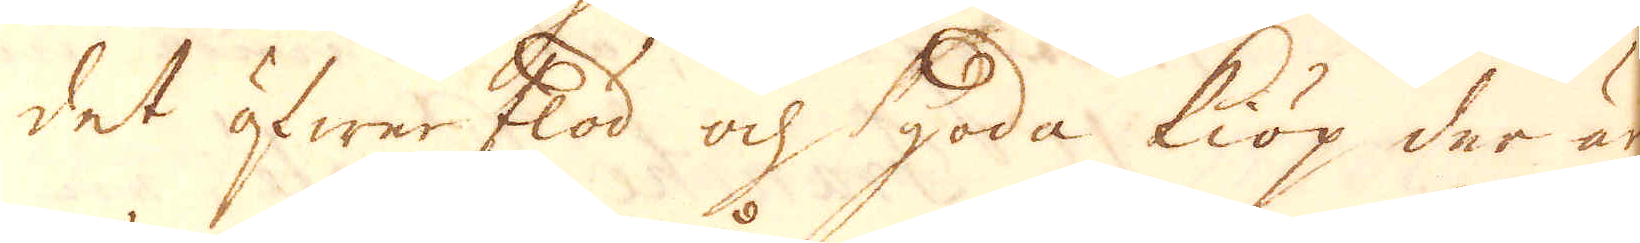det öfwerflöd och goda kiöp der är
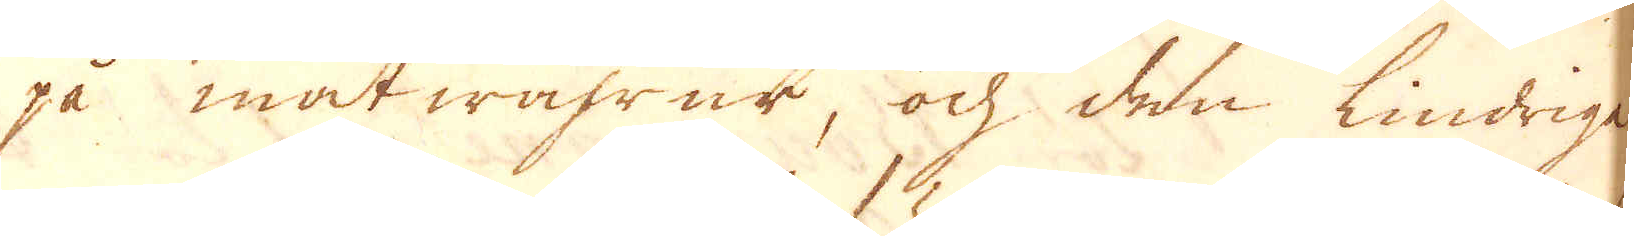på matwahrur, och den lindrige
